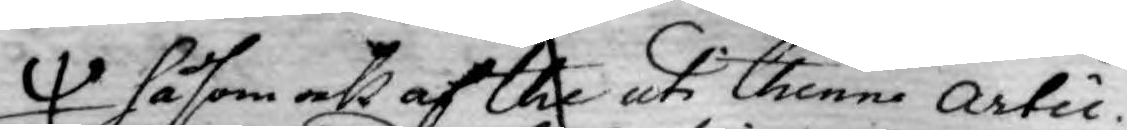såsom ock af the uti thenna Artic.
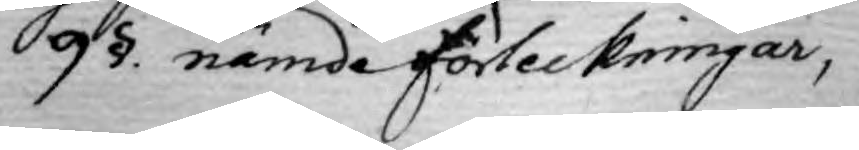9 §. nämde förteckningar,
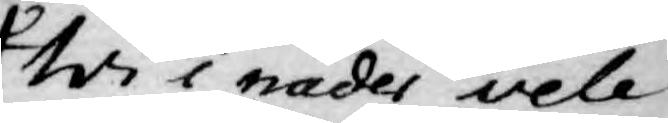Wi i nåder vele
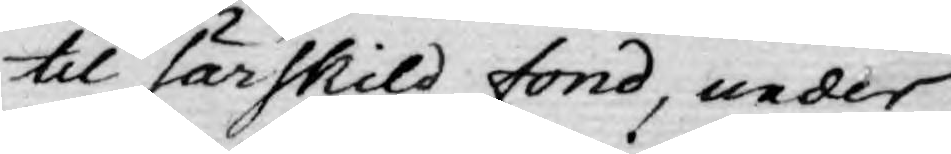til särskild fond, under
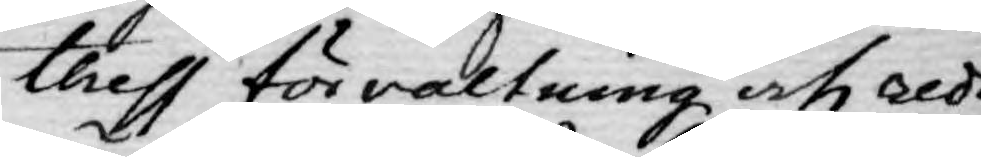thess förvaltning och redo¬
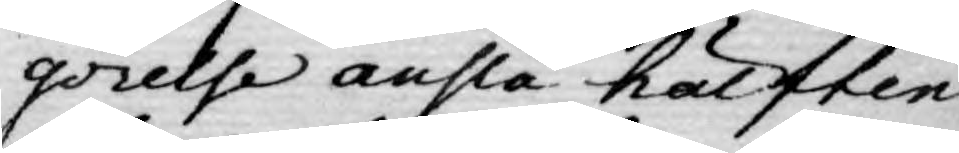görelse anslå hälften
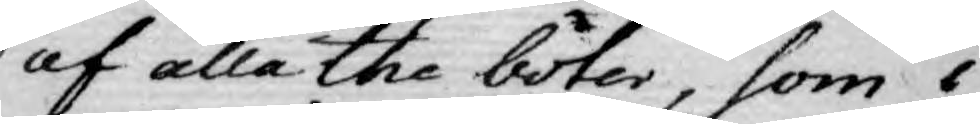af alla the böter, som i
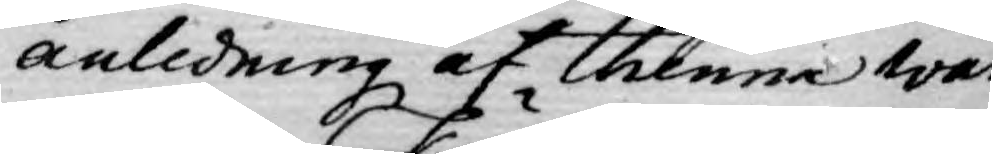anledning af thenna Wår
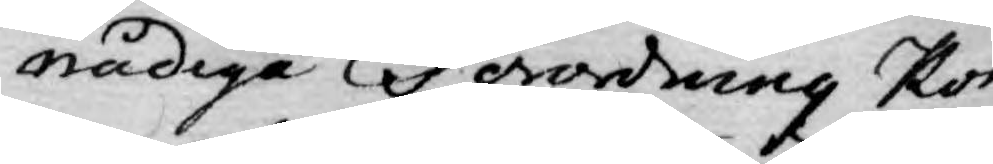nådiga Förordning kom¬
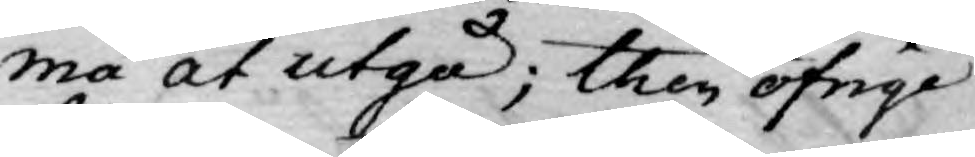ma at utgå; then öfrige
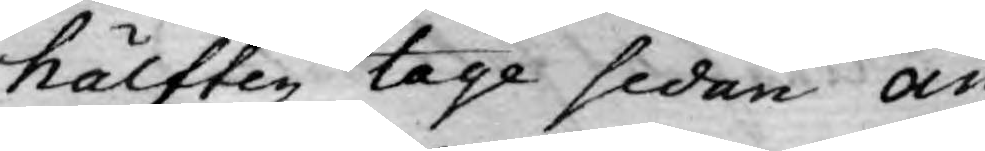hälften tage sedan an¬
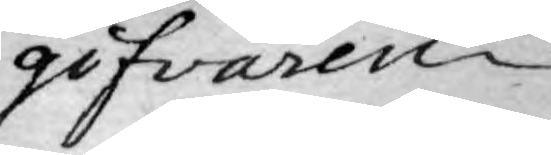gifvaren.
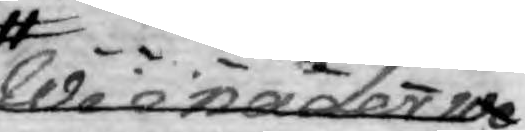Wi i nåder we¬
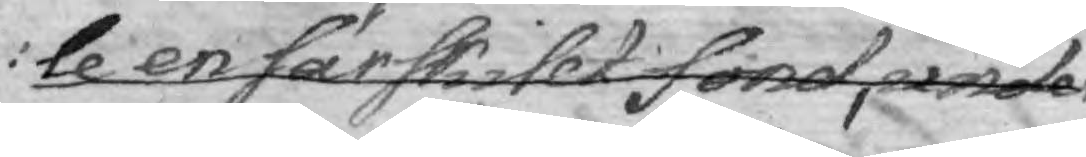le en särskillt fond, under
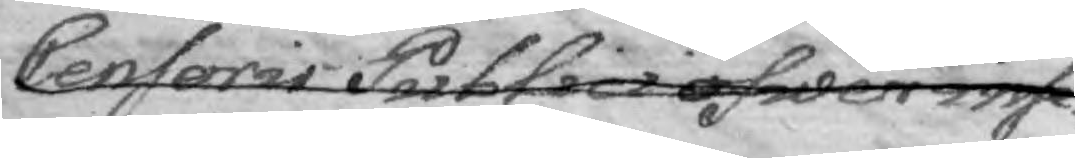Censoris Publici öfwer inse¬
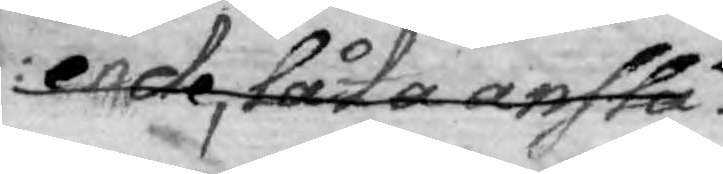ende, låta anslå.
